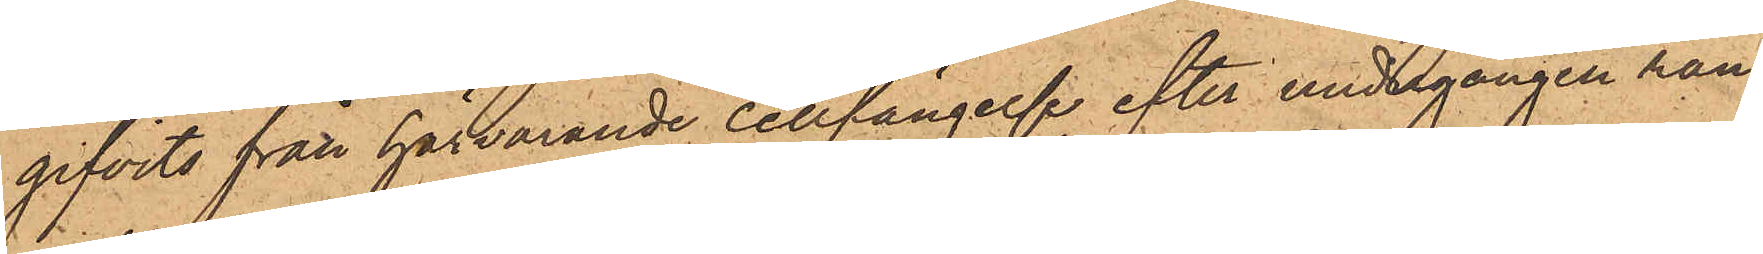gifvits från härvarande cellfängelse efter undergången ran¬
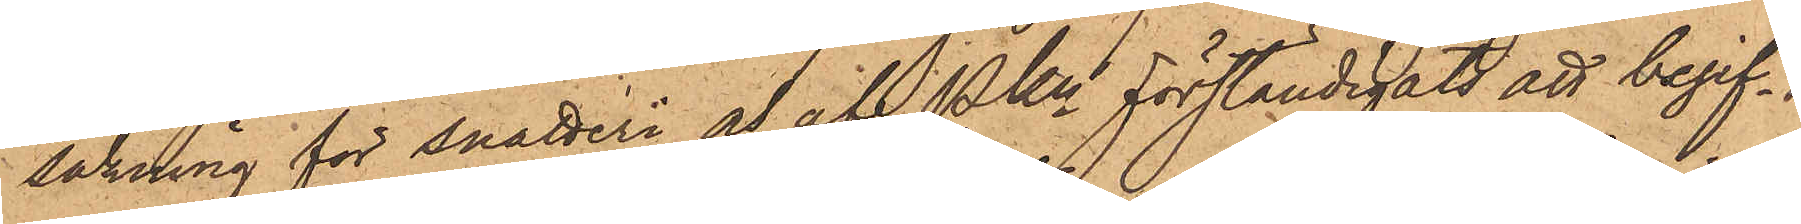sakning för snatteri a af PKn förständigats att begif¬
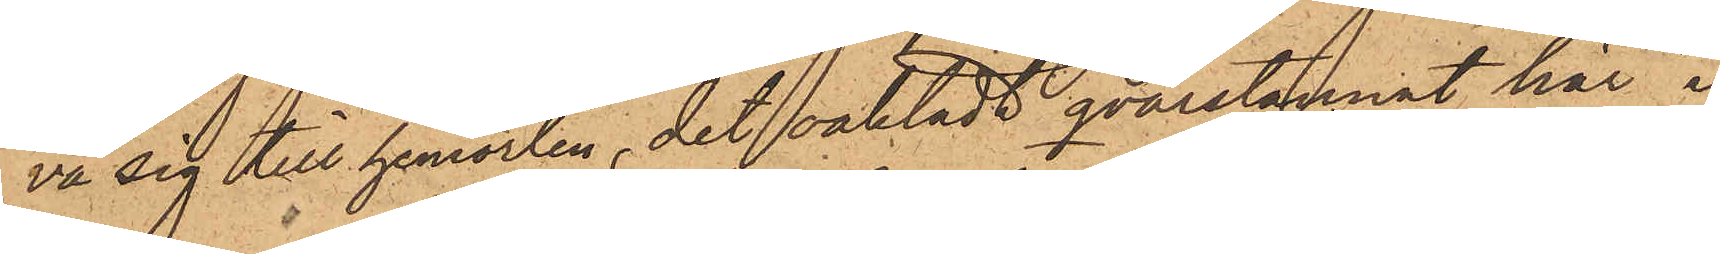va sig till hemorten, det oaktadt qvarstannat här i
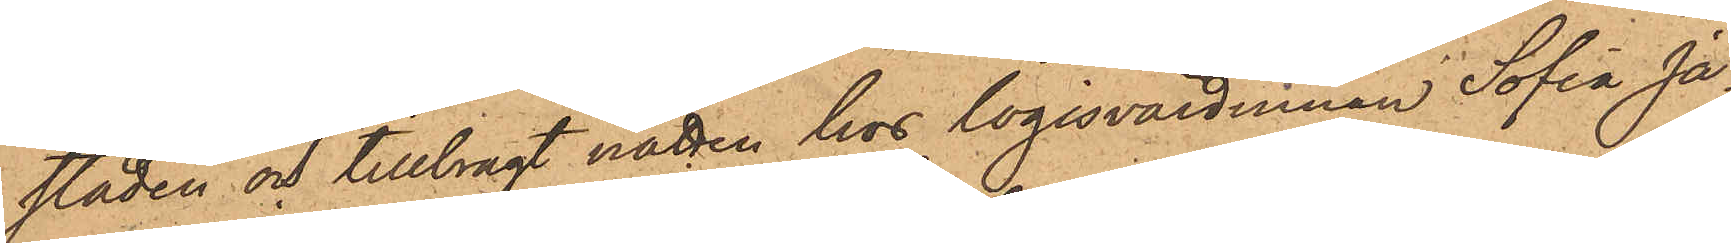staden och tillbragt natten hos logisvärdinnan Sofia Ja¬
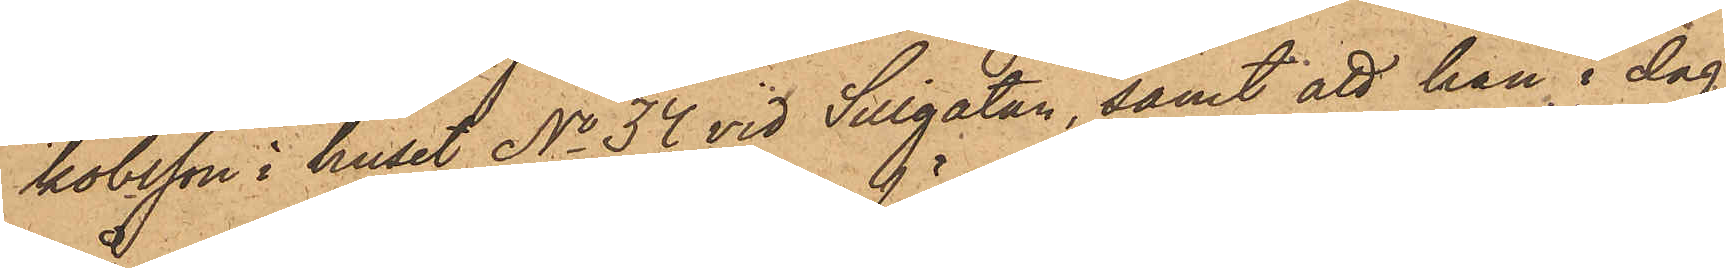kobsson i huset No 34 vid Sillgatan, samt att han i dag
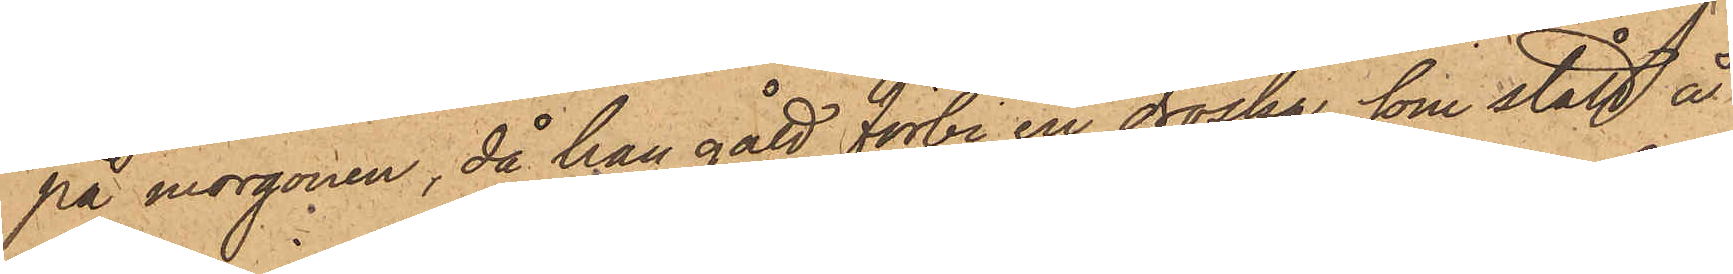på morgonen, då han gått förbi en droska, som stått å
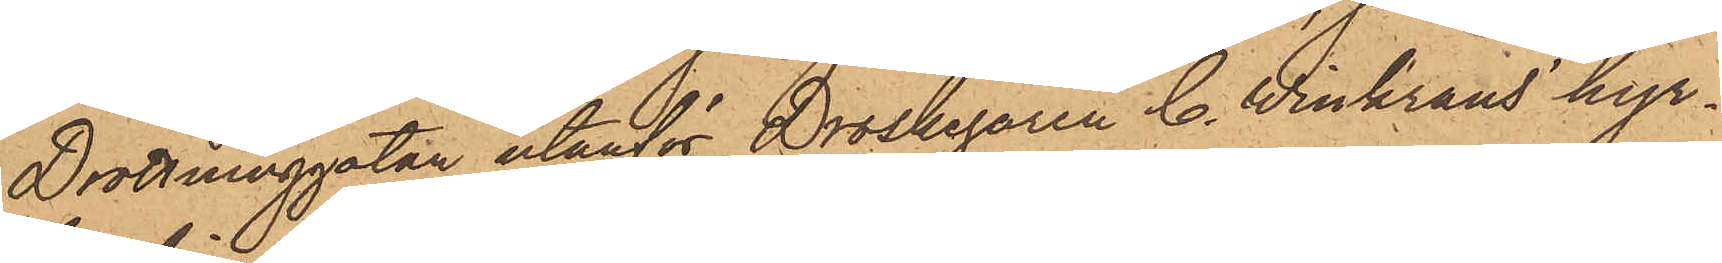Drottninggatan utanför Droskegaren C. Winkrans hyr¬
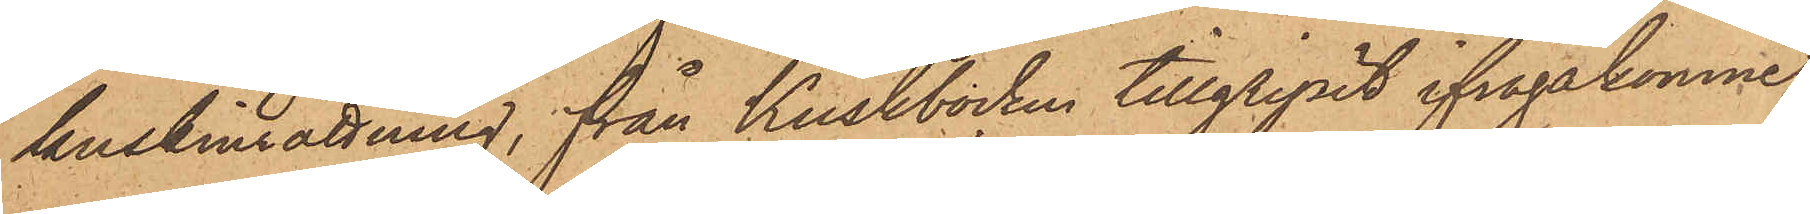kuskinrättning, från Kuskbocken tillgripit ifrågakomne
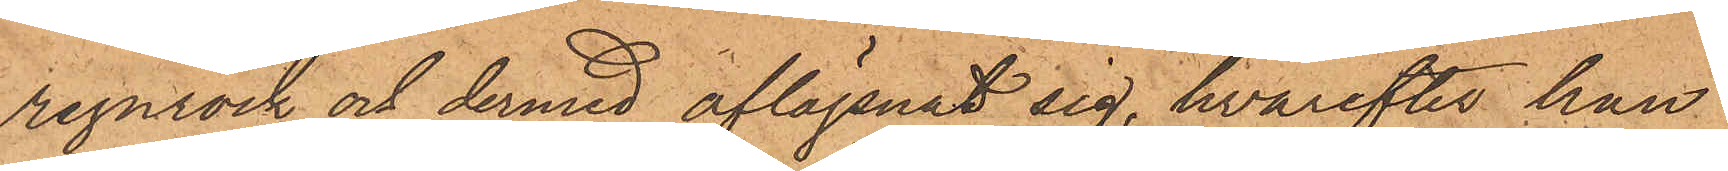regnrock och dermed aflägsnat sig, hvarefter han
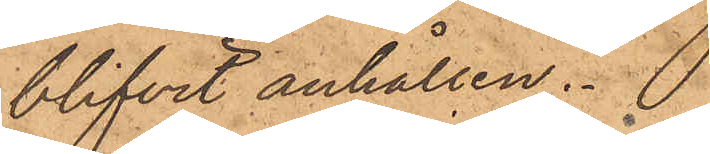blifvit anhållen.
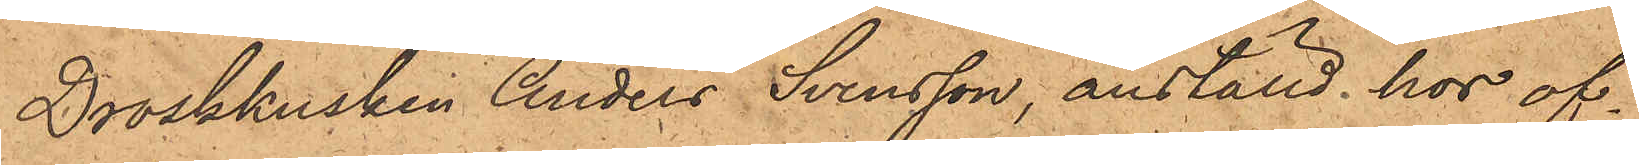Droskkusken Anders Svensson, anställd hos of¬
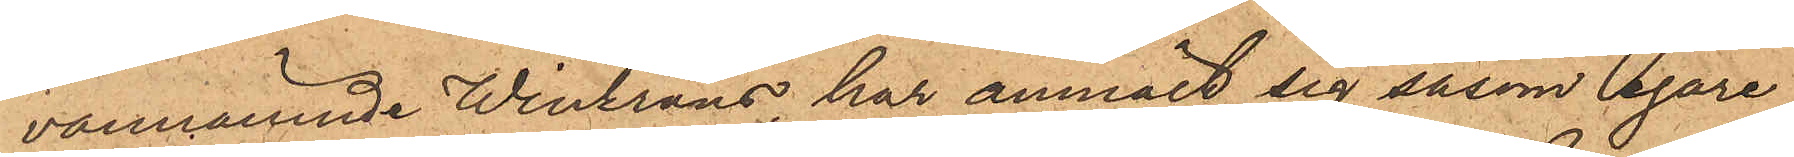vannämnde Winkrans, har anmält sig såsom egare
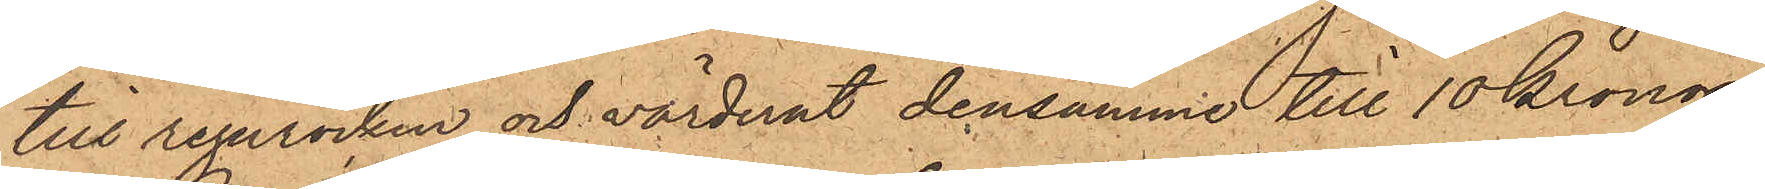till regnrocken och värderat densamma till 10 Kronor.
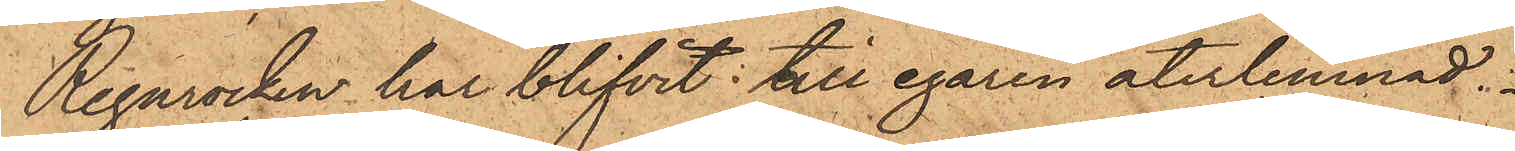Regnrocken har blifvit till egaren återlemnad.
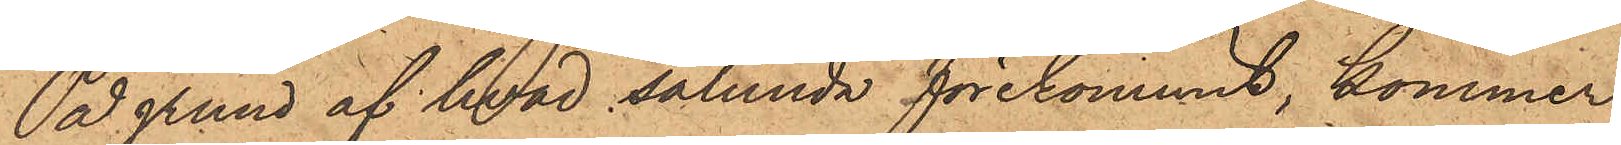På grund af hvad sålunda förekommit, kommer
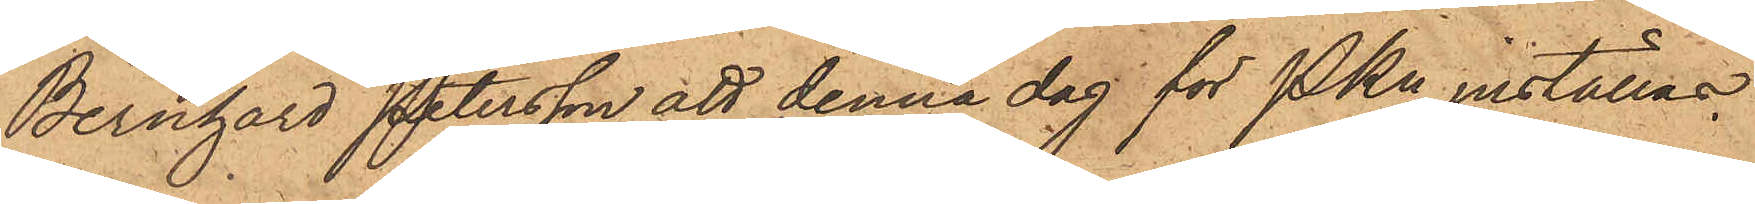Bernhard Petersson att denna dag för PKn inställas.
